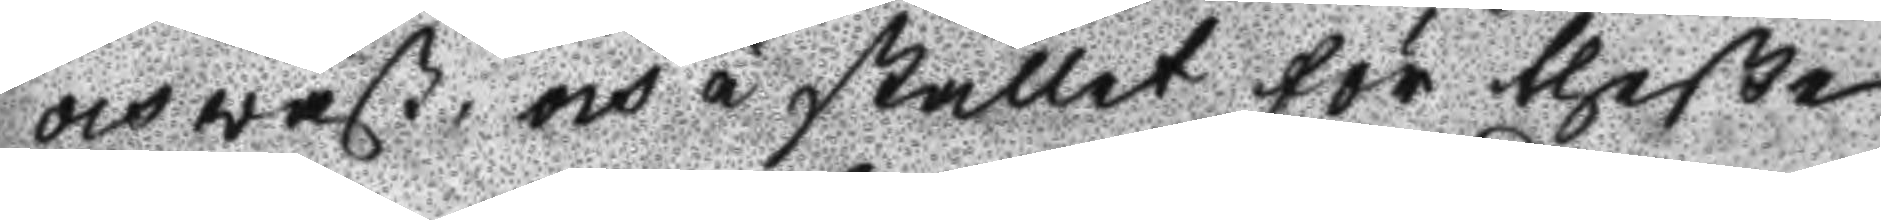och wäst, och i stället för theße
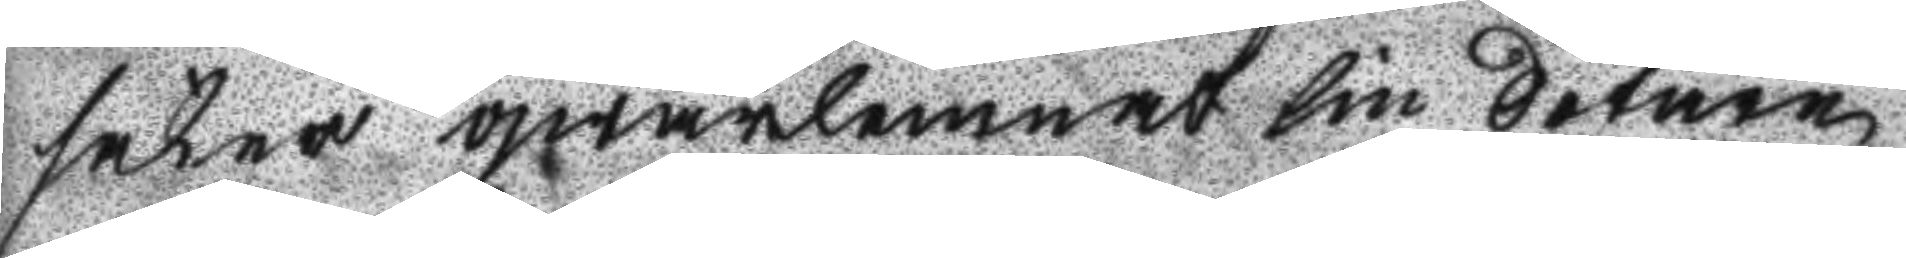saker qwarlemnat sin Sotare
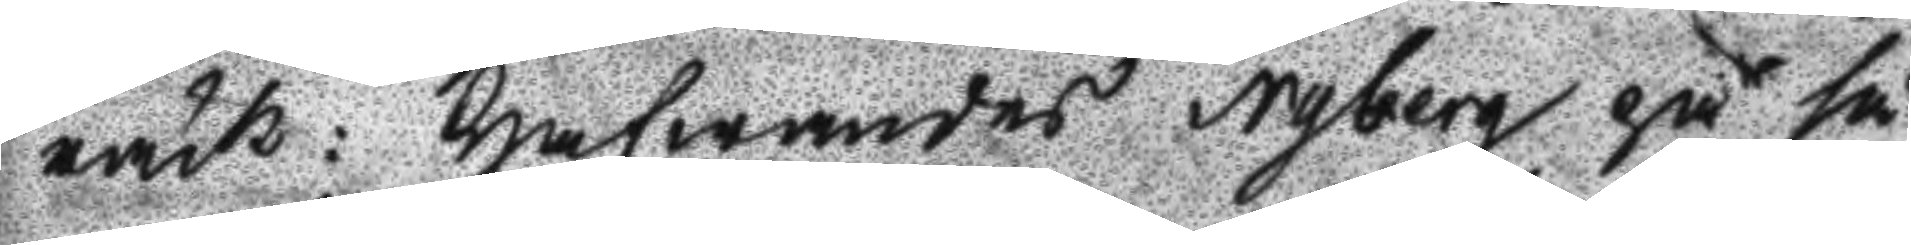råck: Hafwandes Nyberg på så
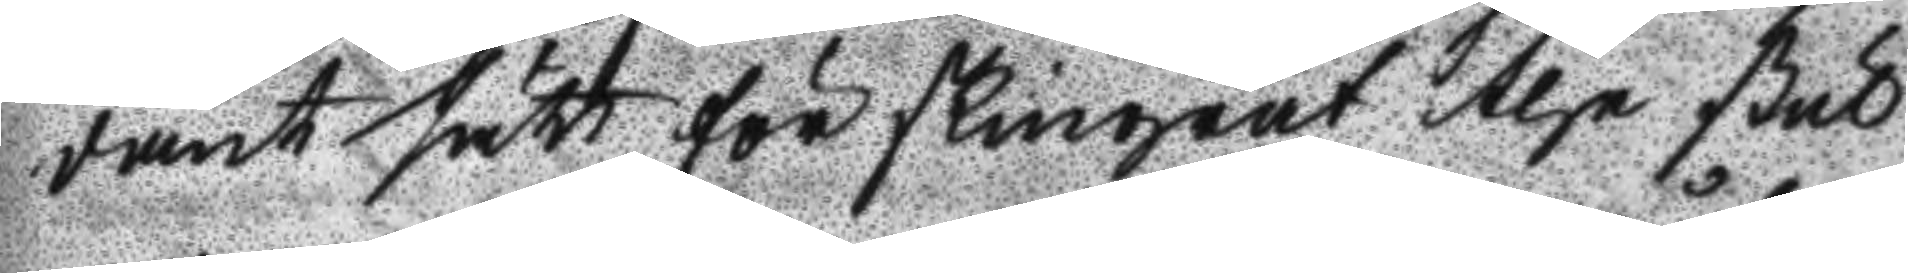dant sätt förskingrat the stul
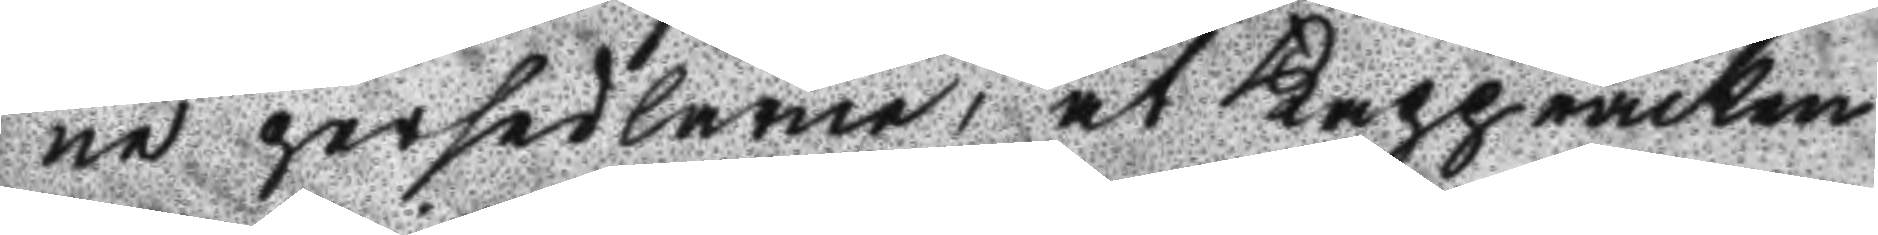ne persedlarne, at Kappråcken
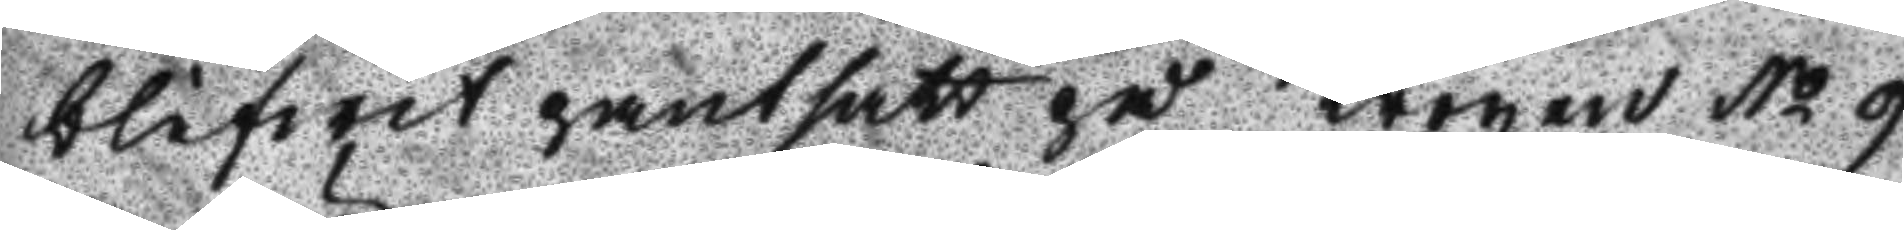blifwit pantsatt på Krogen No 9
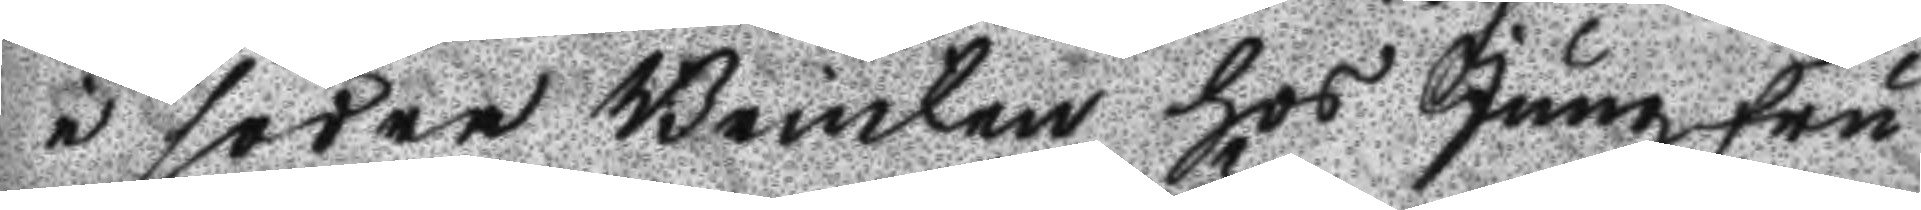i södra Brincken hos Jungfru
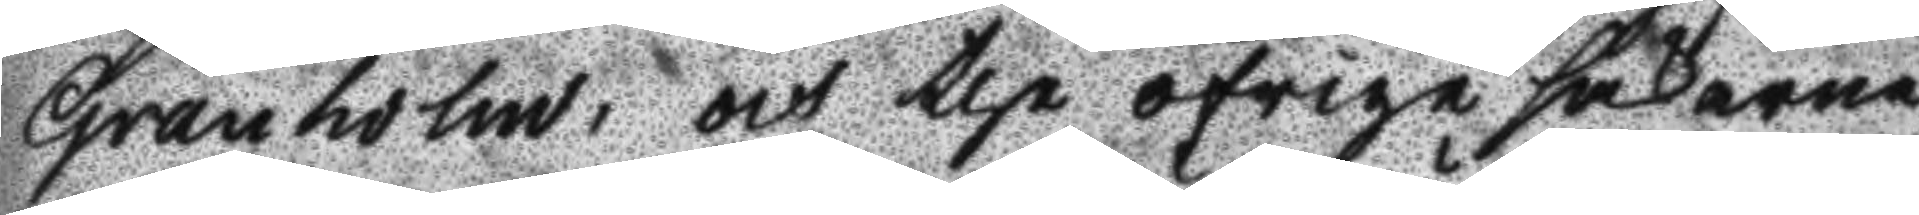Granholm, och the öfrige sakerne
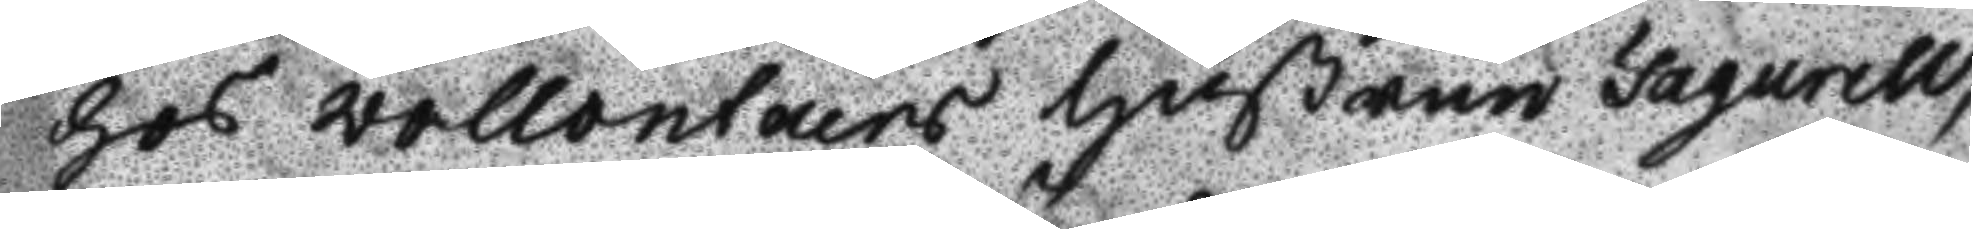hos wollontairs Hustrun Fagurell,
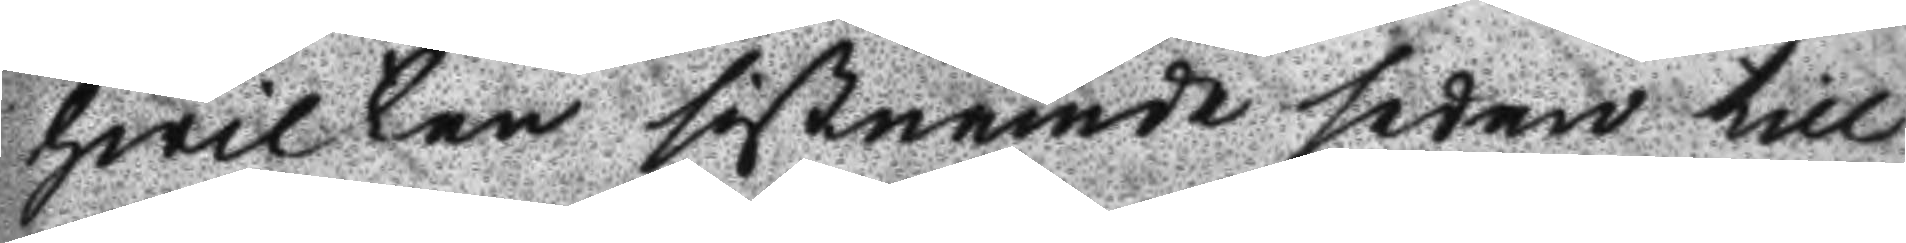hwilken sistnämde sedan till
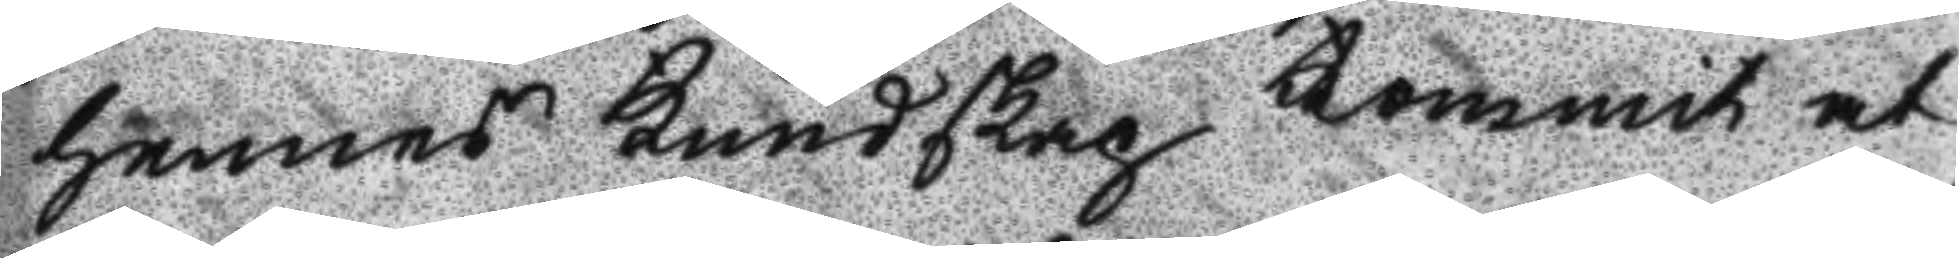hennes Kundskap kommit at
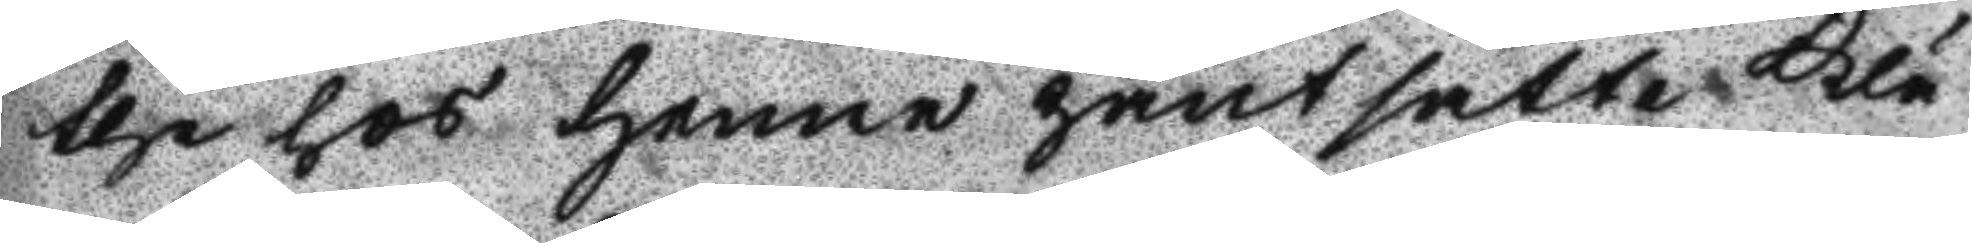the hos henne pantsatte Klä
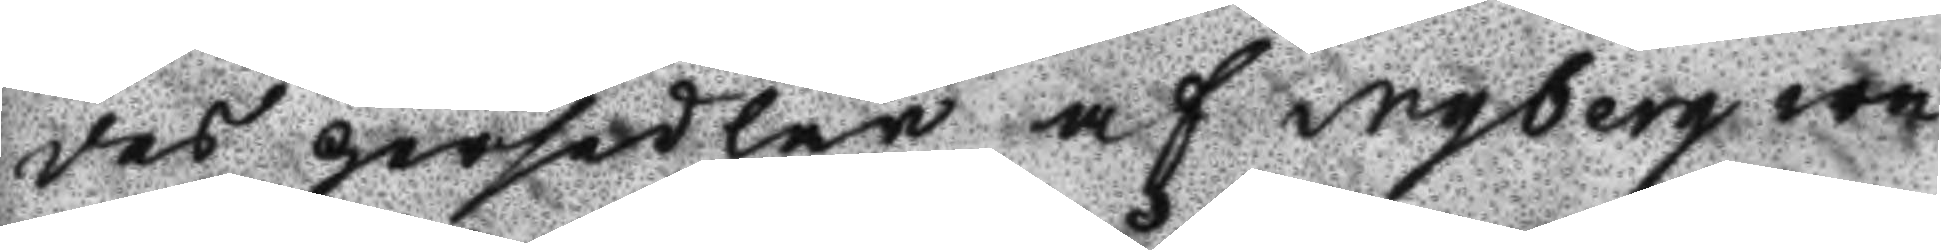des persedlarne af Nyberg wa
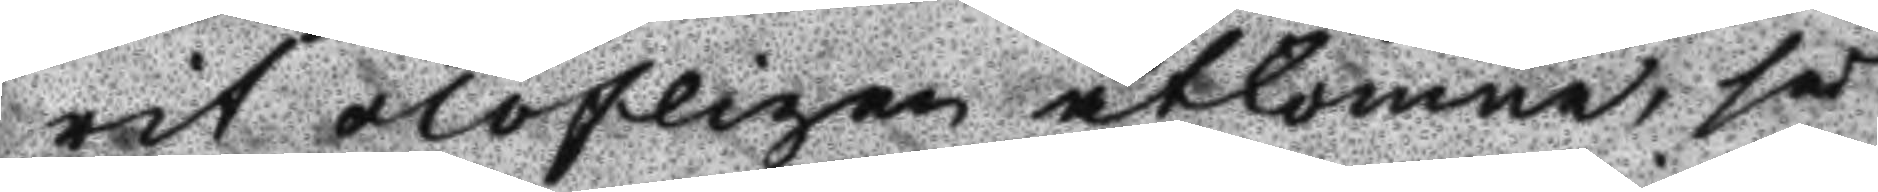rit olofligen åtkomne, så
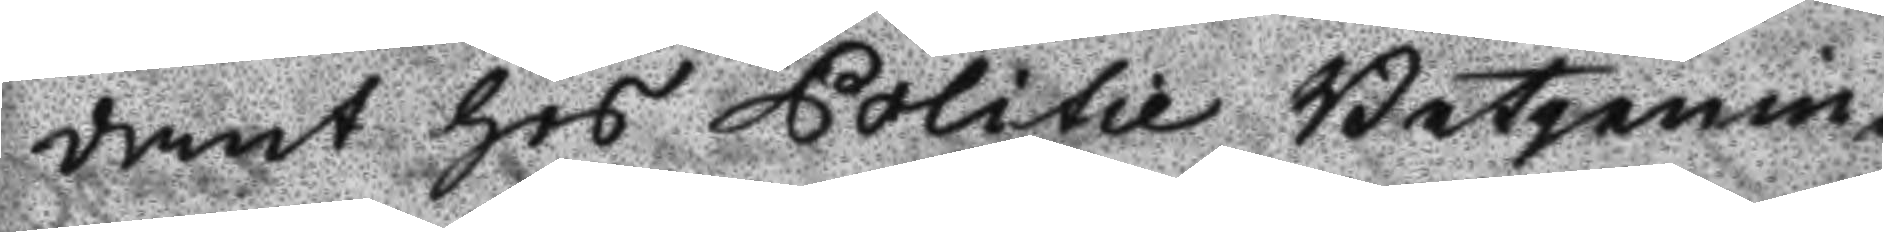dant hos Politie Betjenin
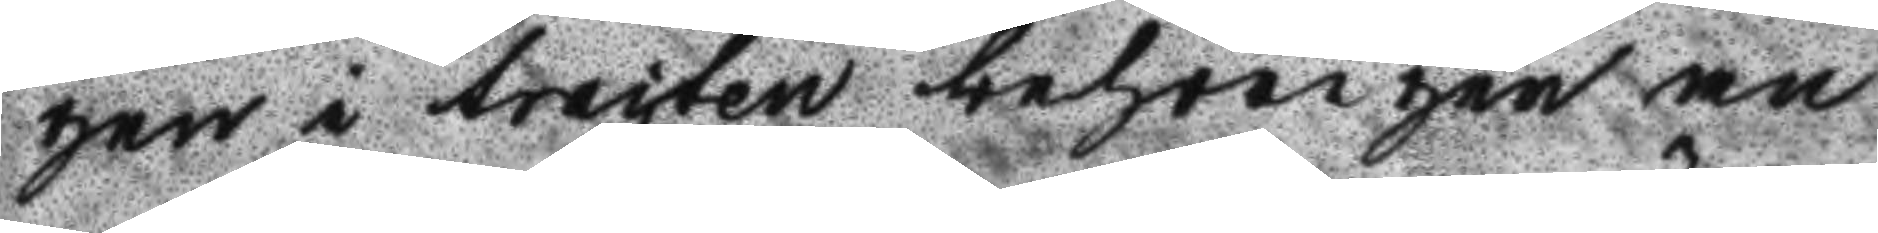gen i tracten behörigen an
